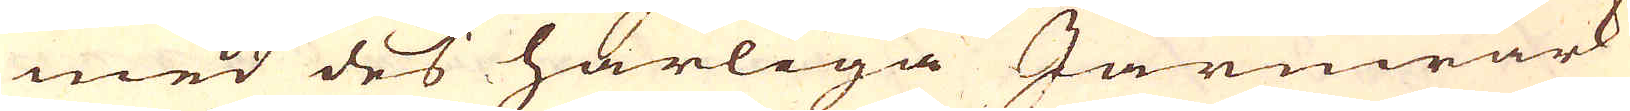med des härliga Järnwärk
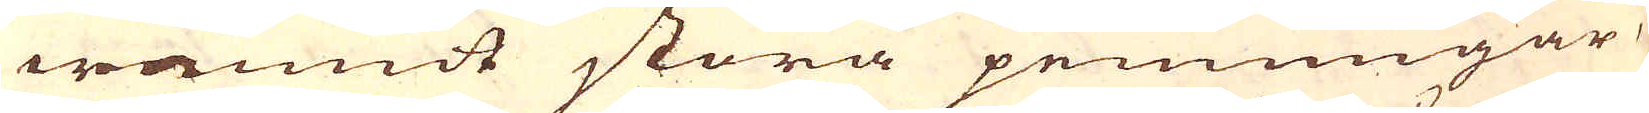wännit stora penningar
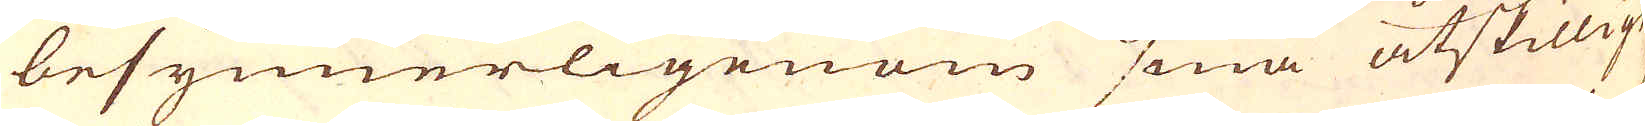besynnerligenom små åtskillige
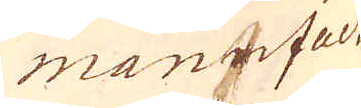manufact-
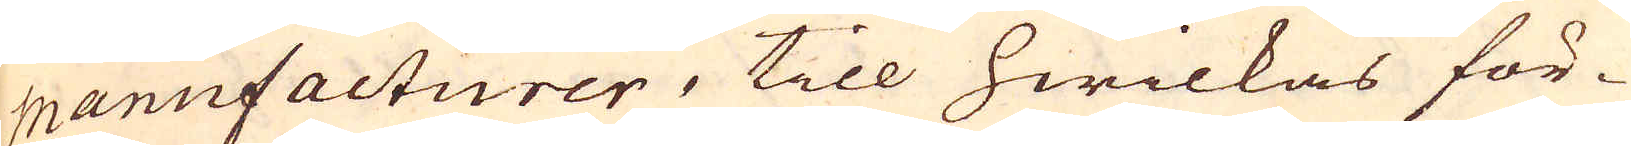manufacturer, till hwilkas för-
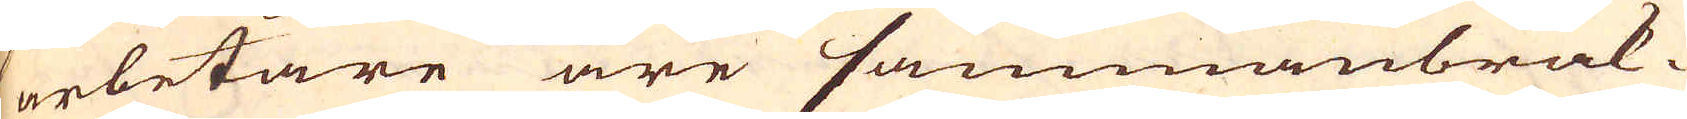arbetare äre sammanbrak-
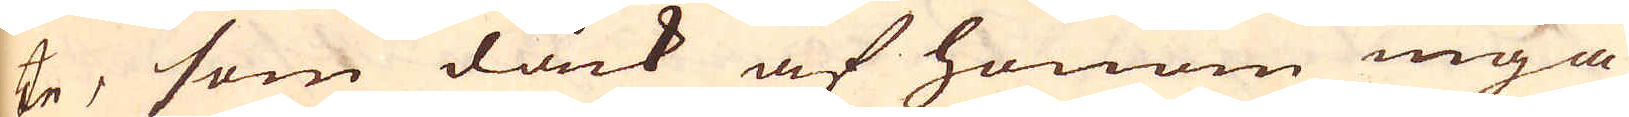te, som dåck af honom inga
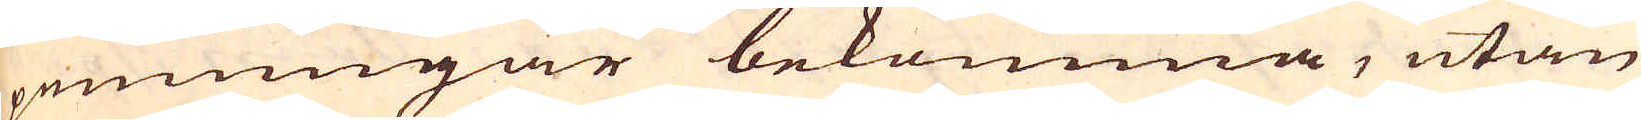penningar bekomma, utan
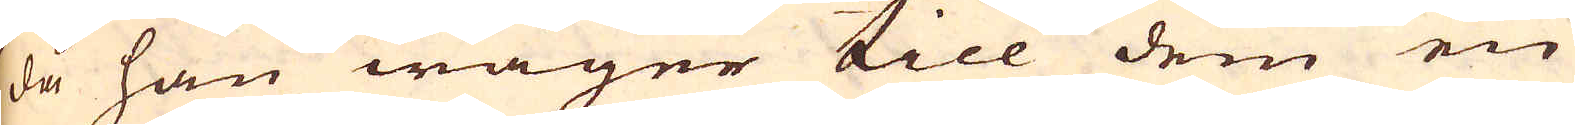då han wäger till dem en
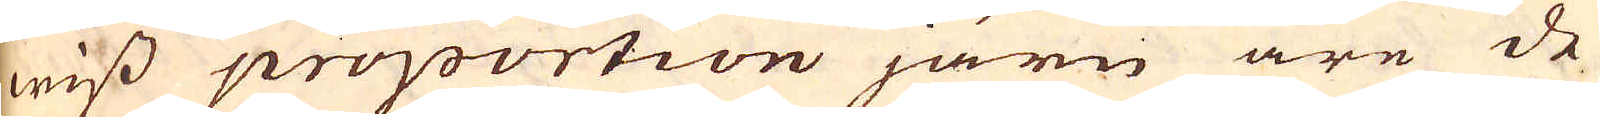wiss proportion järn äre de
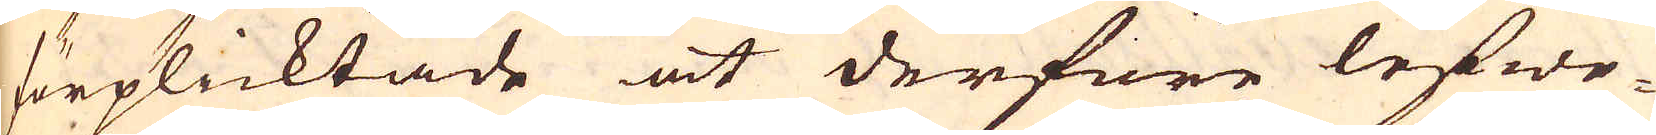förplicktade at derföre lefwe-
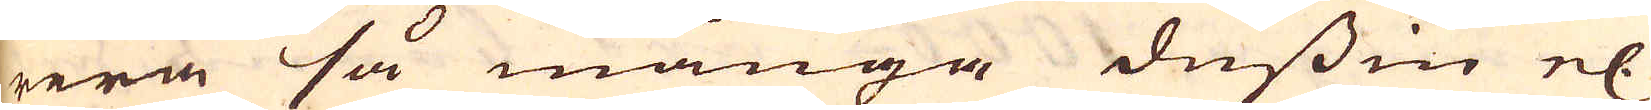rera så många dussin el:
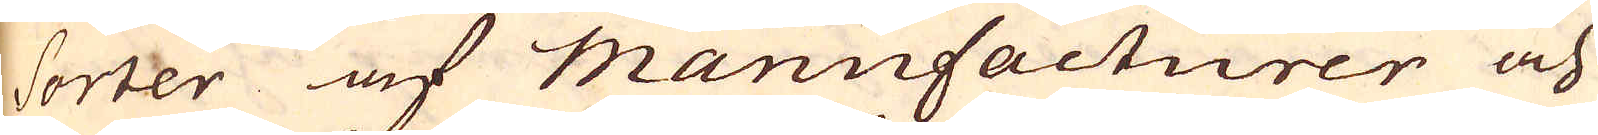sorter af manufacturer och
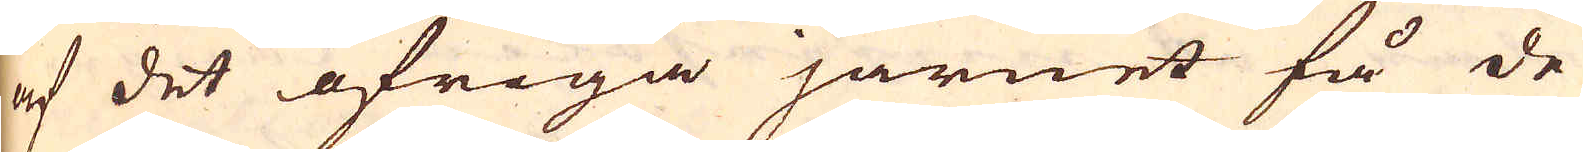af det öfriga järnet få de
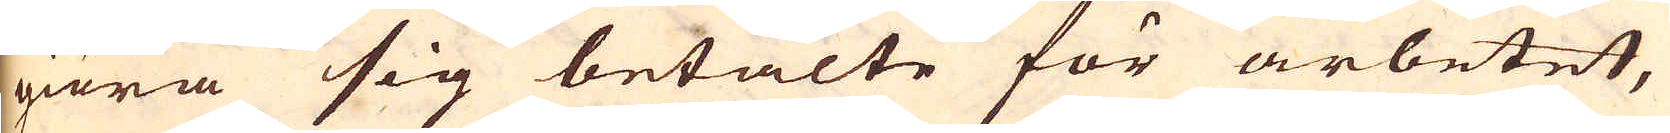giöra sig betalte för arbetet,
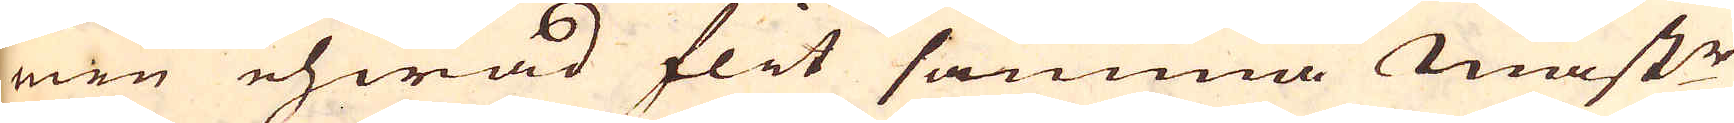men ehwad flit samma mästr
